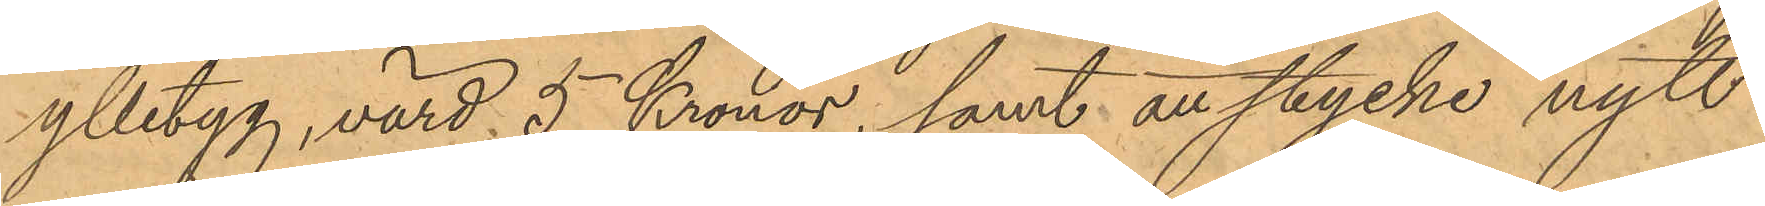ylletyg, värd 5 Kronor, samt att stycke nytt
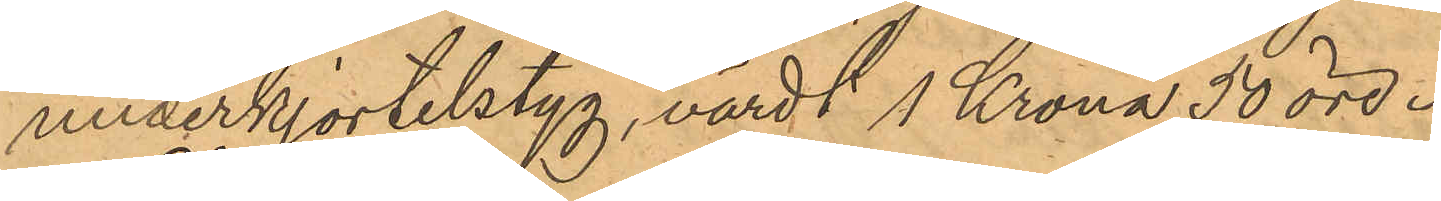underkjortelstyg, värdt 1 Krona 50 öre.
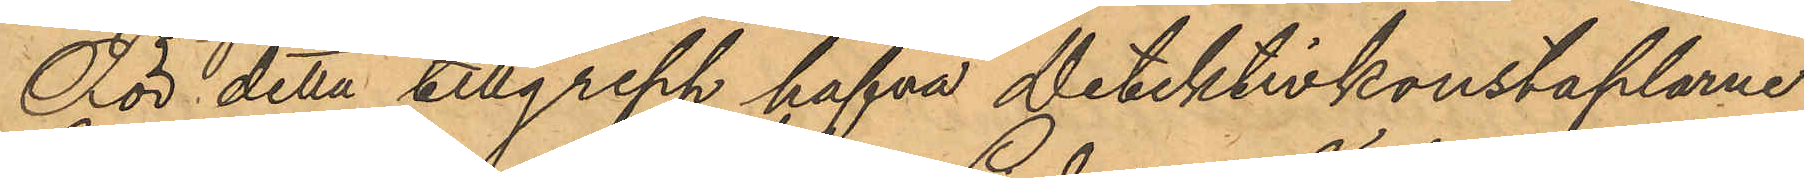För detta tillgrepp hafva detektivkonstaplarne
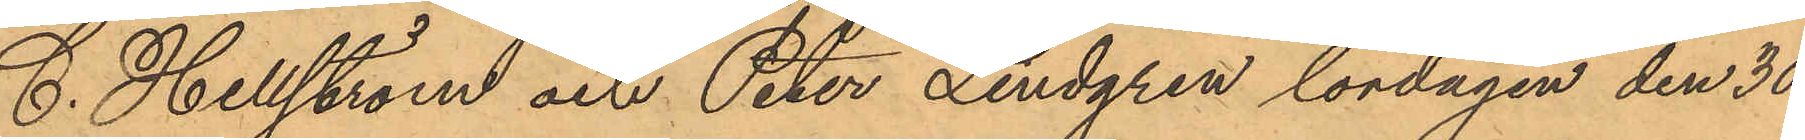C. Hellström och Peter Lindgren lördagen den 30
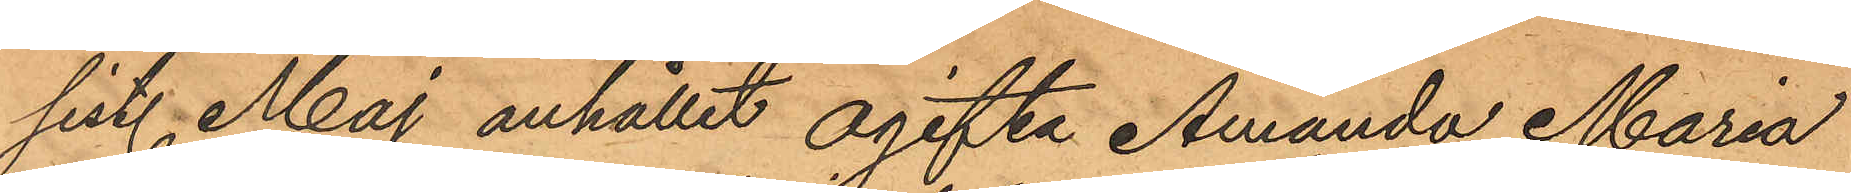sist. Maj anhållit ogifta Amanda Maria
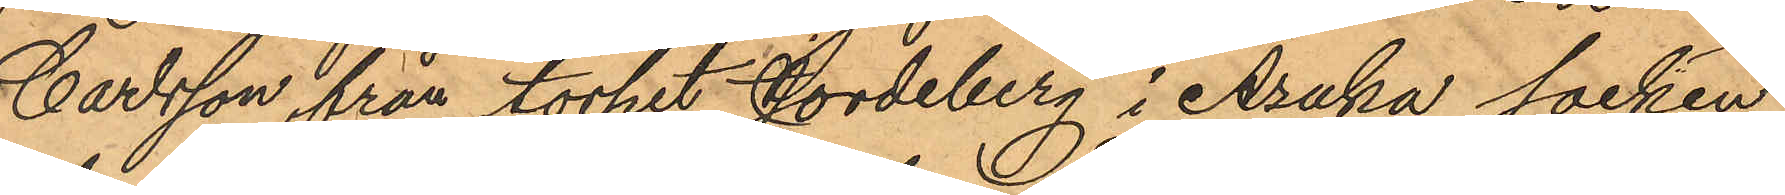Carlsson, från torpet Jordeberg i Åsaka socken
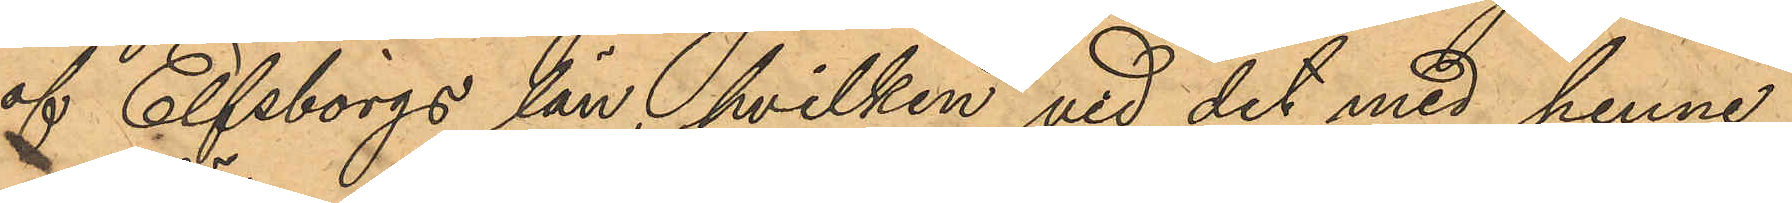af Elfsborgs län, hvilken vid det med henne
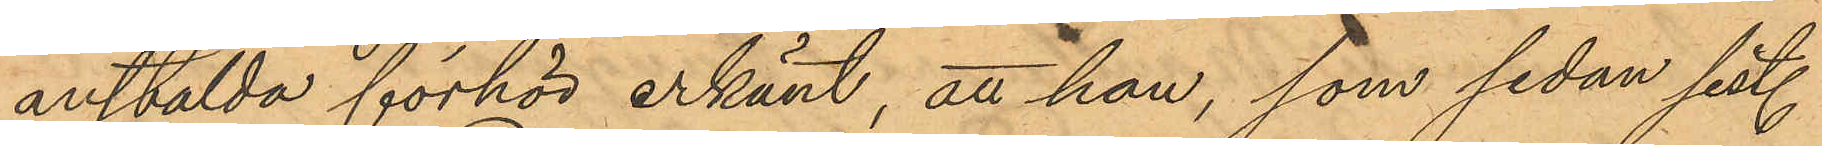anstälda förhör erkänt, att hon, som sedan sist.
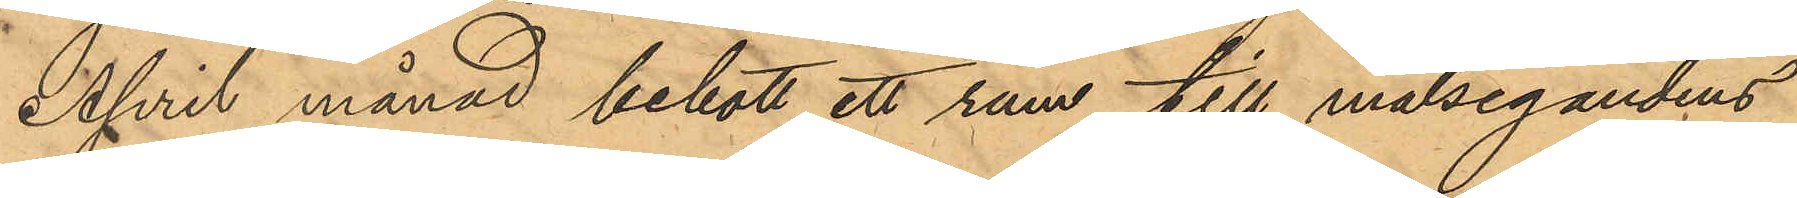April månad bebott ett rum till målsegandens
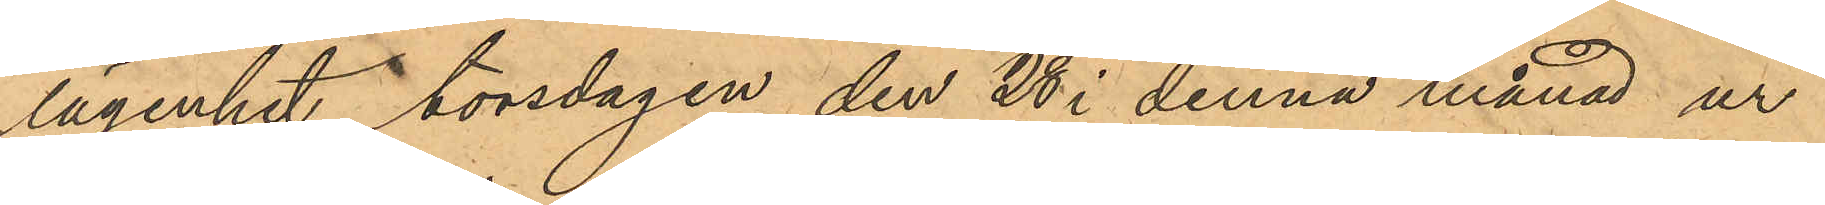lägenhet, torsdagen den 28 i denna månad ur
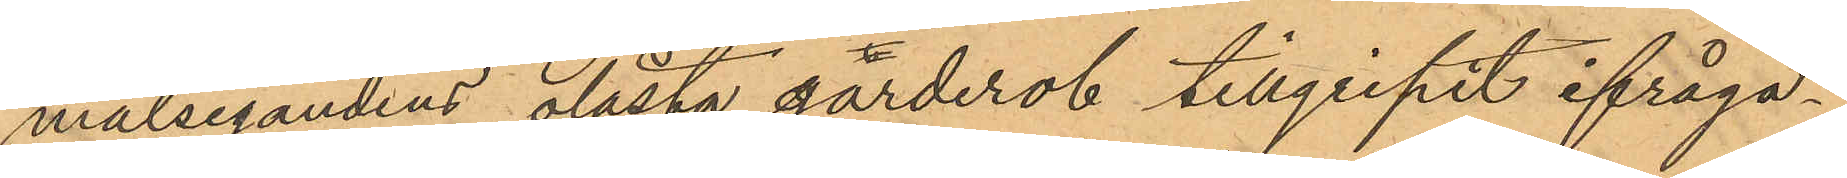målsegandens olåsta garderob tillgripit ifråga¬
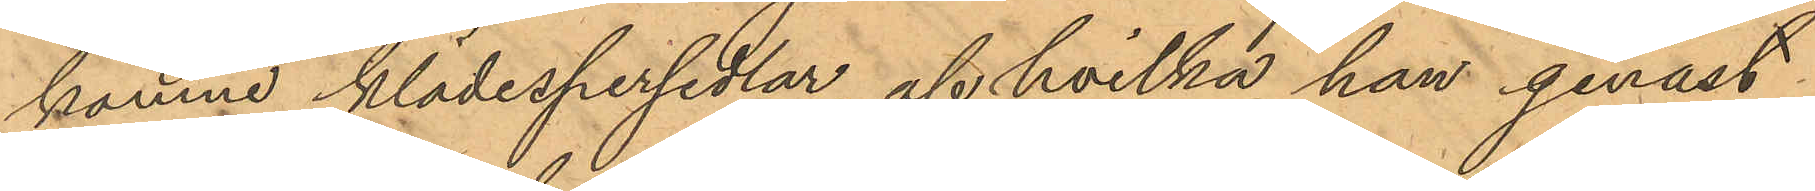komne klädespersedlar, af hvilka hon genast
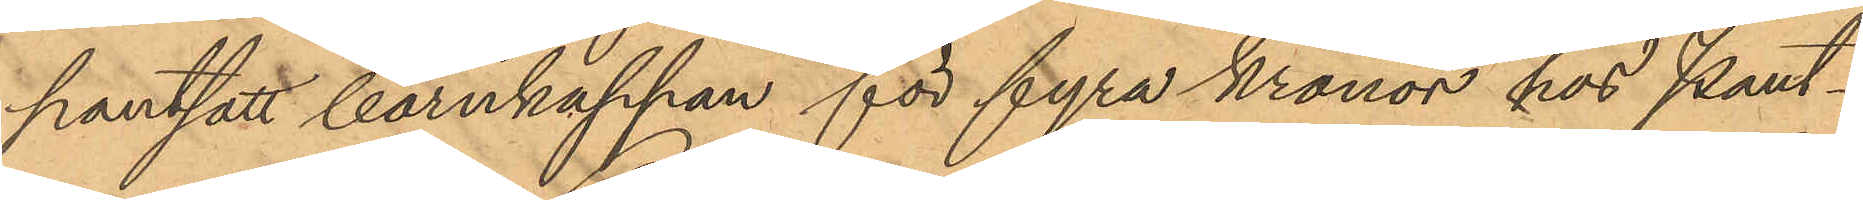pantsatt barnkappan för fyra kronor hos Pant¬
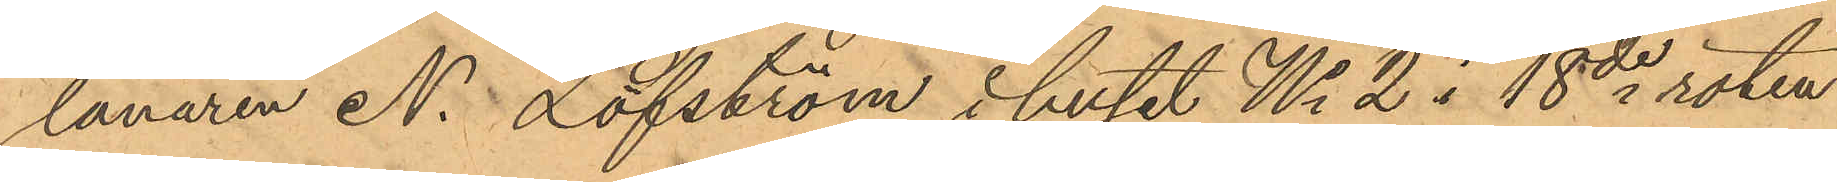lanaren N. Löfström i huset No 2 i 18de roten
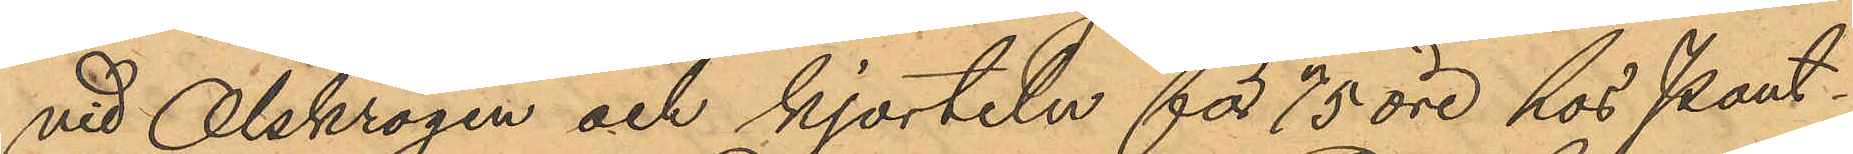vid Olskrogen och kjorteln för 75 öre hos Pant¬
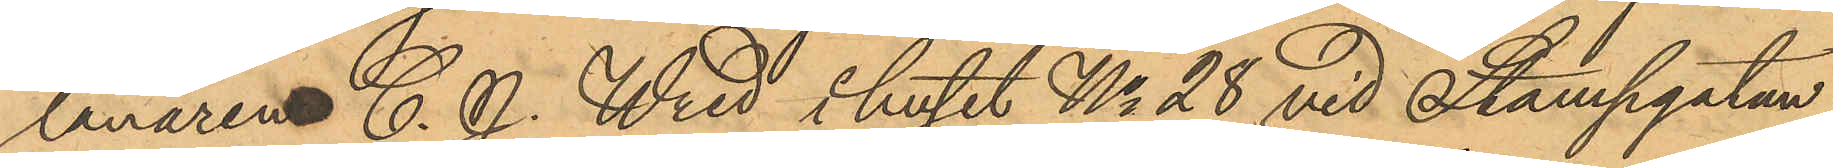lånaren C. J. Wred i huset No 28 vid Stampgatan,
